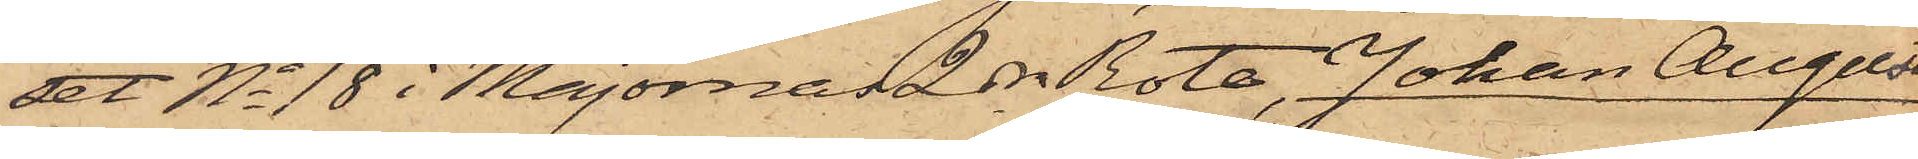set No 18 i Majornas 2dra Rote, Johan August
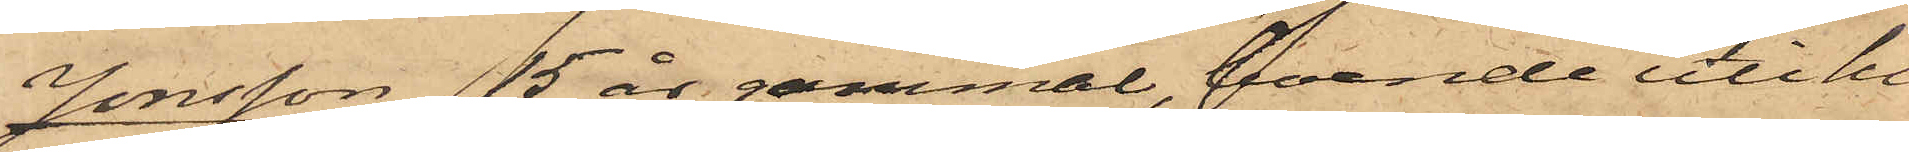Jonsson, 15 år gammal, boende uti hu¬
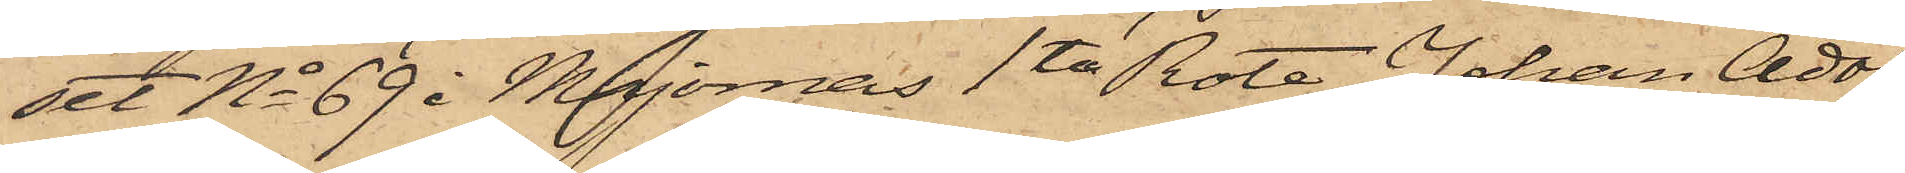set No 69 i Majornas 1ta Rote, Johan Adolf
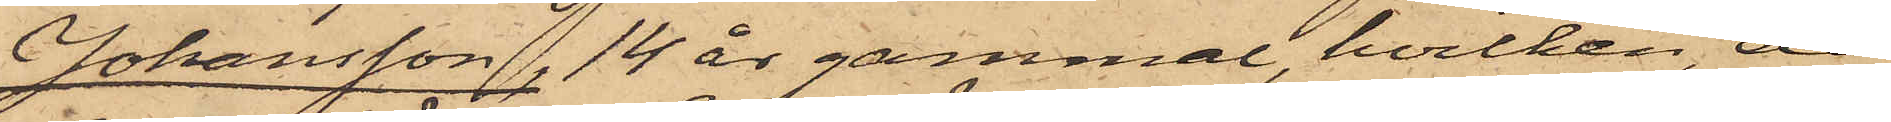Johansson, 14 år gammal, hvilken, då
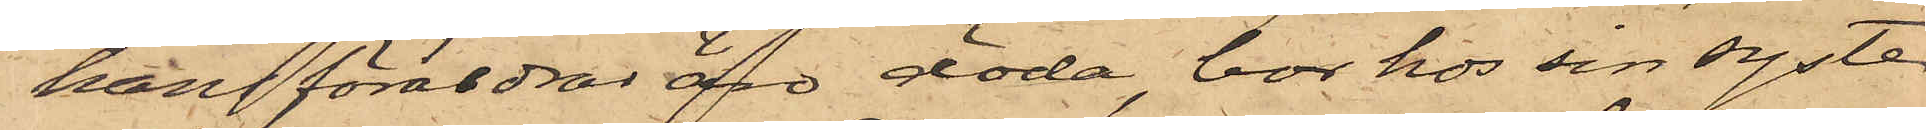hans föräldrar äro döda, bor hos sin syster
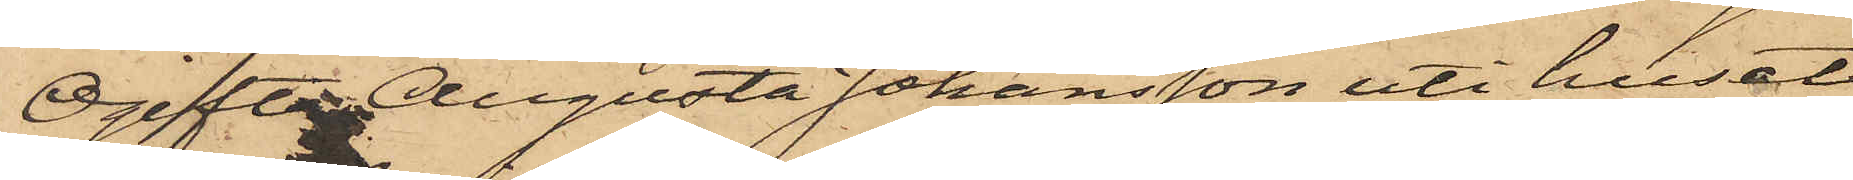Ogifta Augusta Johansson uti huset
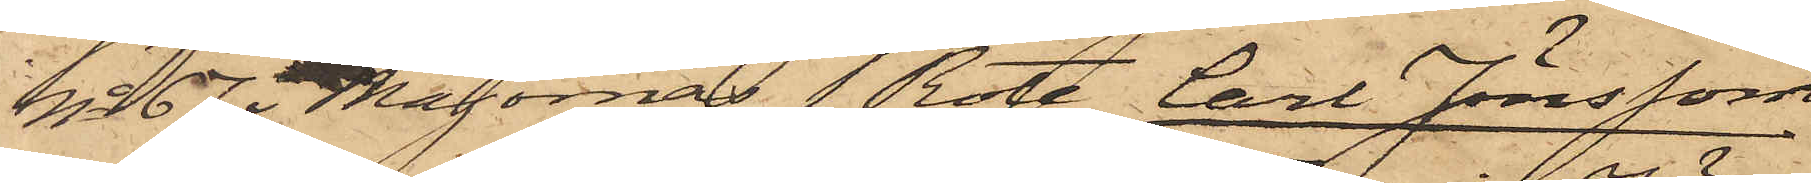No 67 Majornas 1 Rote, Carl Jönsson
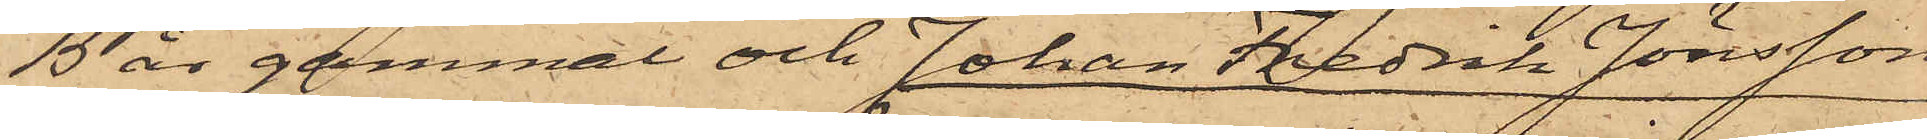15 år gammal och Johan Fredrik Jönsson
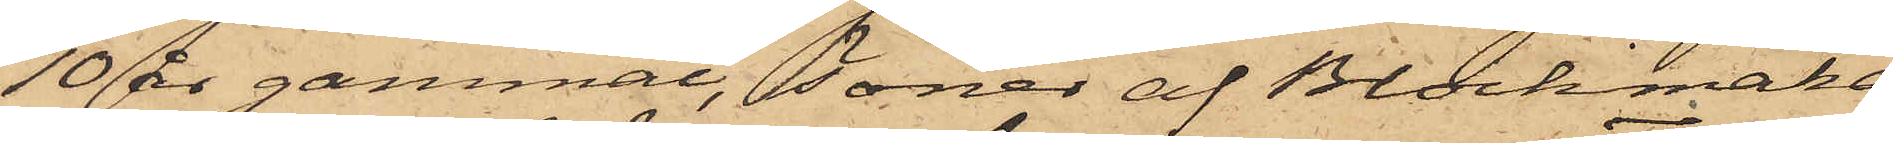10 år gammal, söner af Blockmaka¬
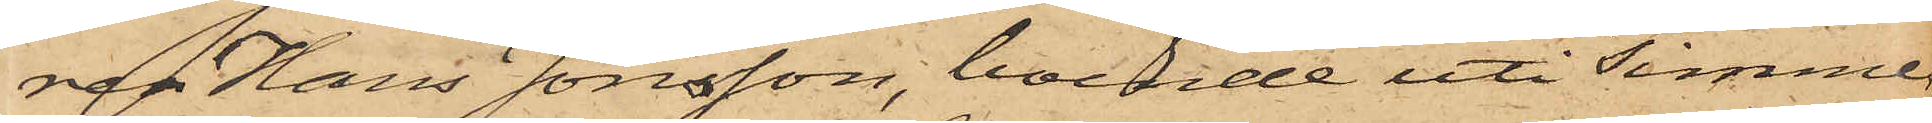ren Hans Jönsson, boende uti Timmer¬
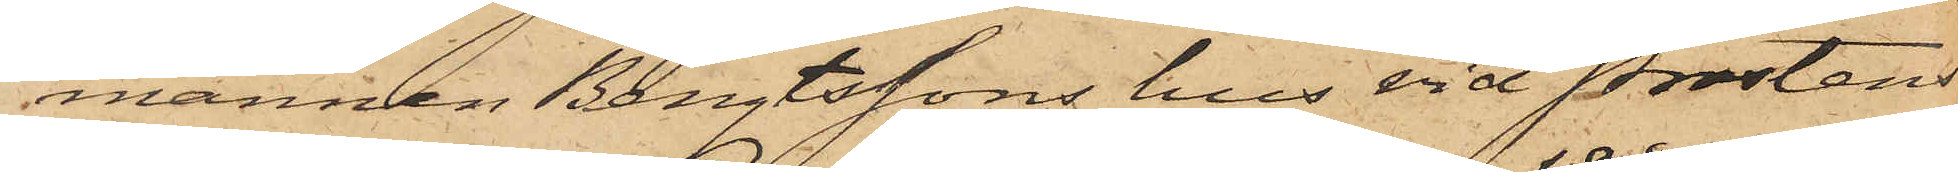mannen Bengtssons hus vid Prostens
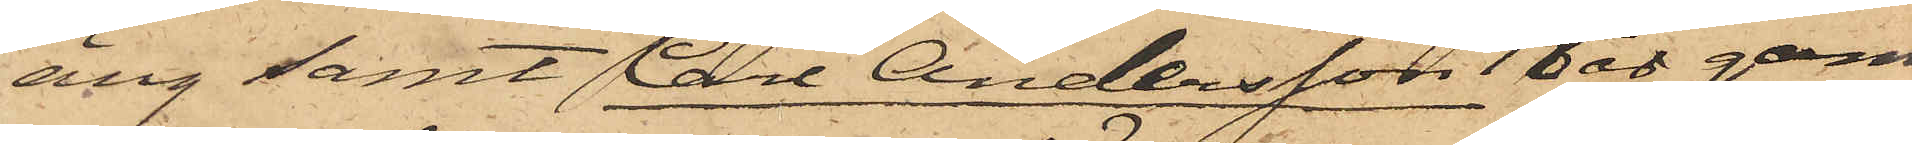äng samt Carl Andersson 18 år gam¬
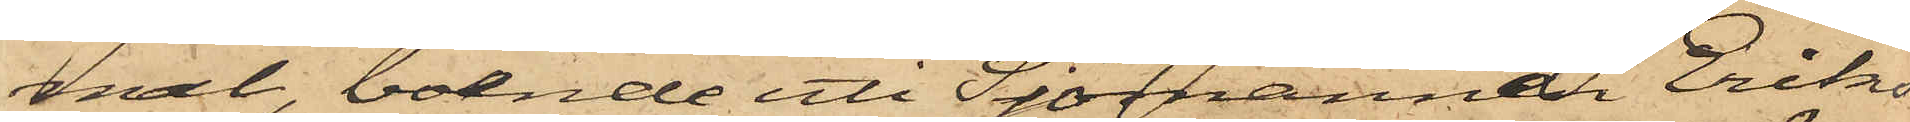mal, boende uti Sjömannen Eriks¬
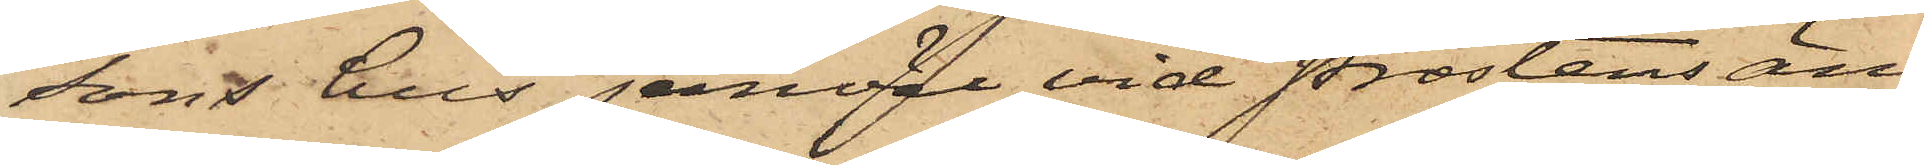sons hus jemväl vid Prostens äng
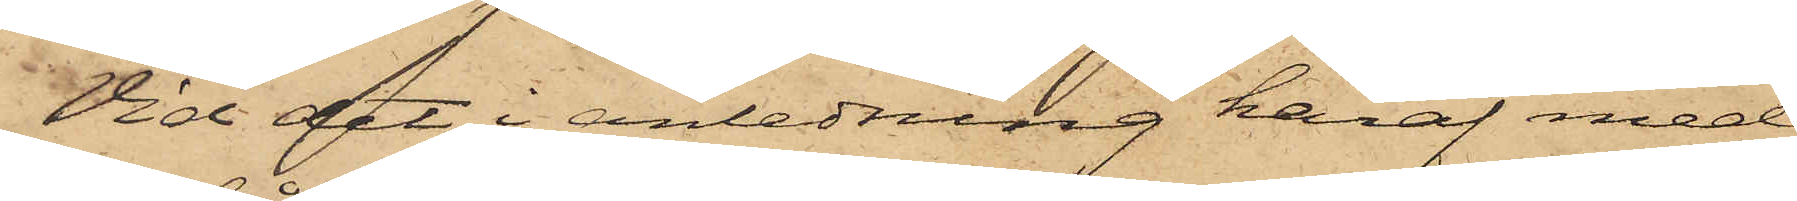Vid det i anledning häraf med
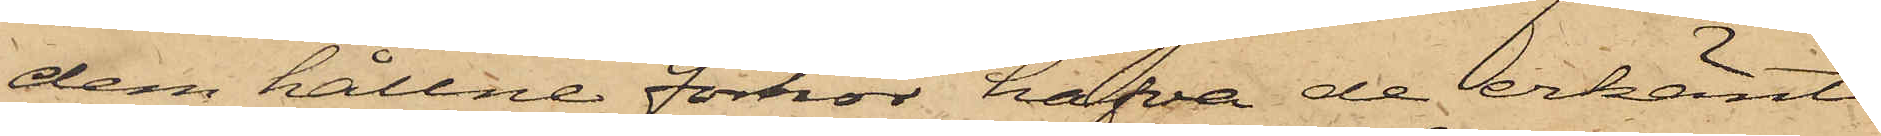dem hållne förhör hafva de erkänt
